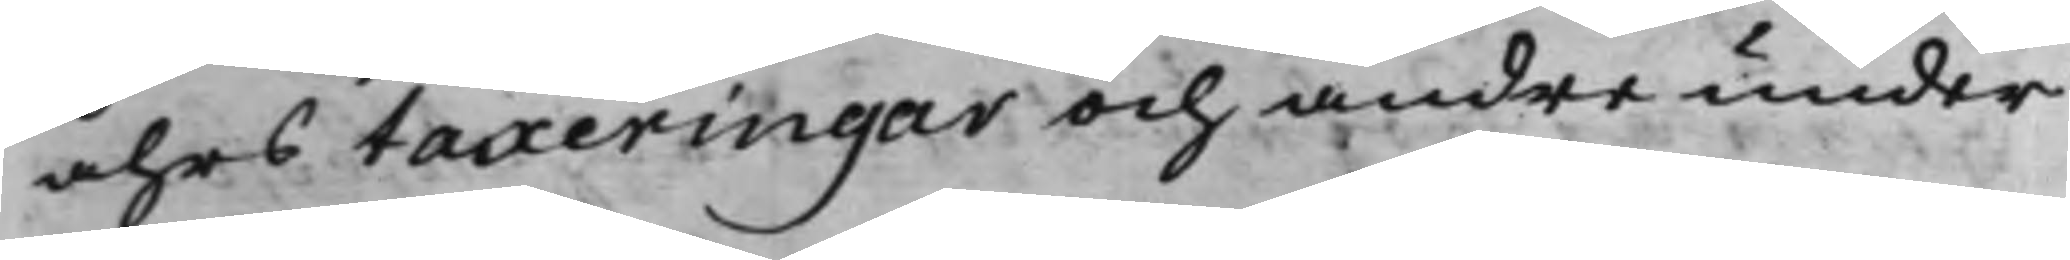åhrs taxeringar och andra under
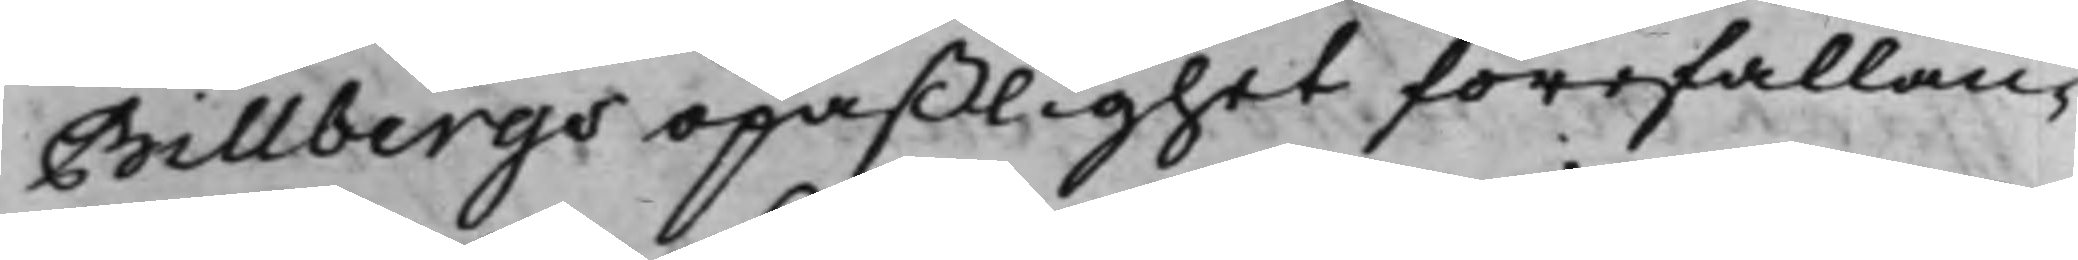Billbergs opaßlighet förefallan¬
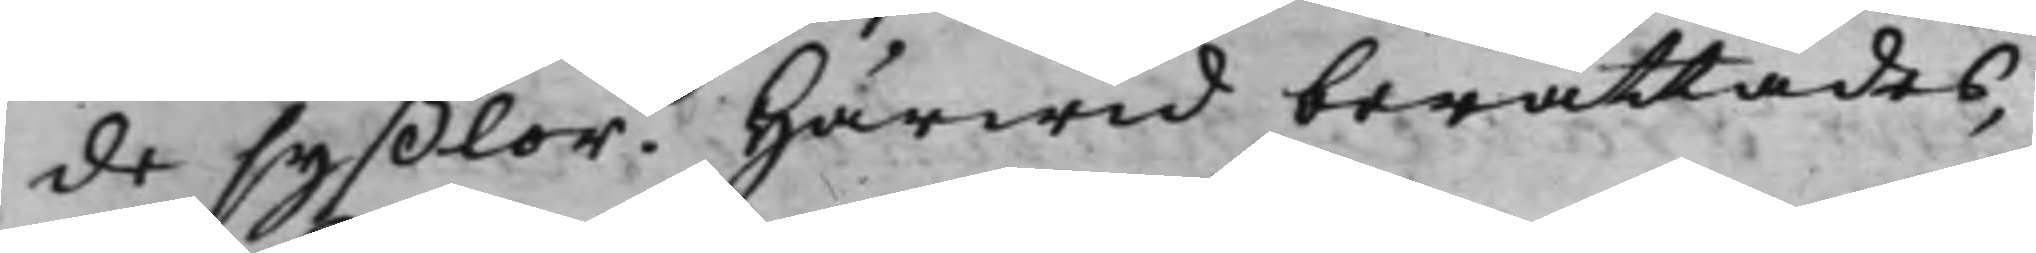de syßlor. Härwid berättades,
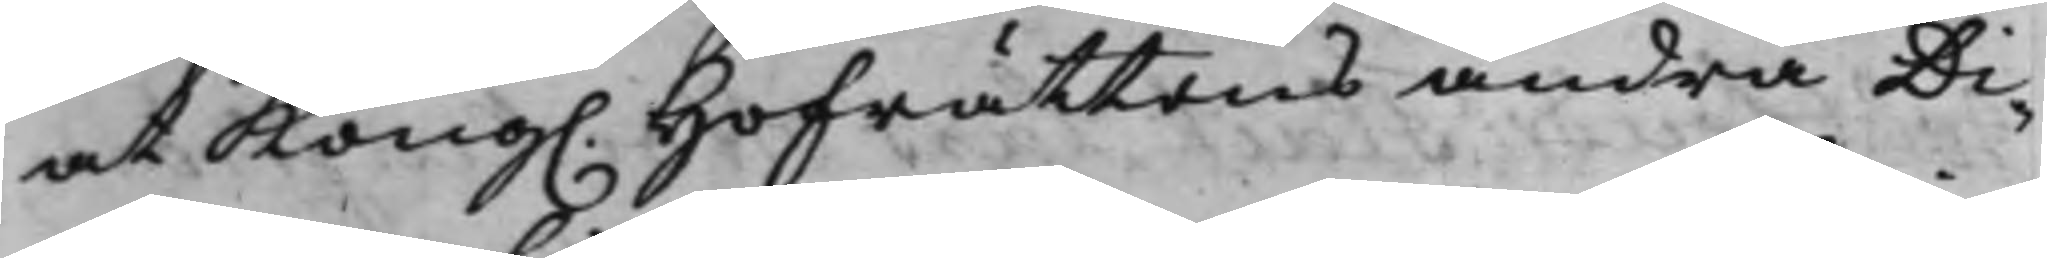at Kong. Hofrättens andra Di¬
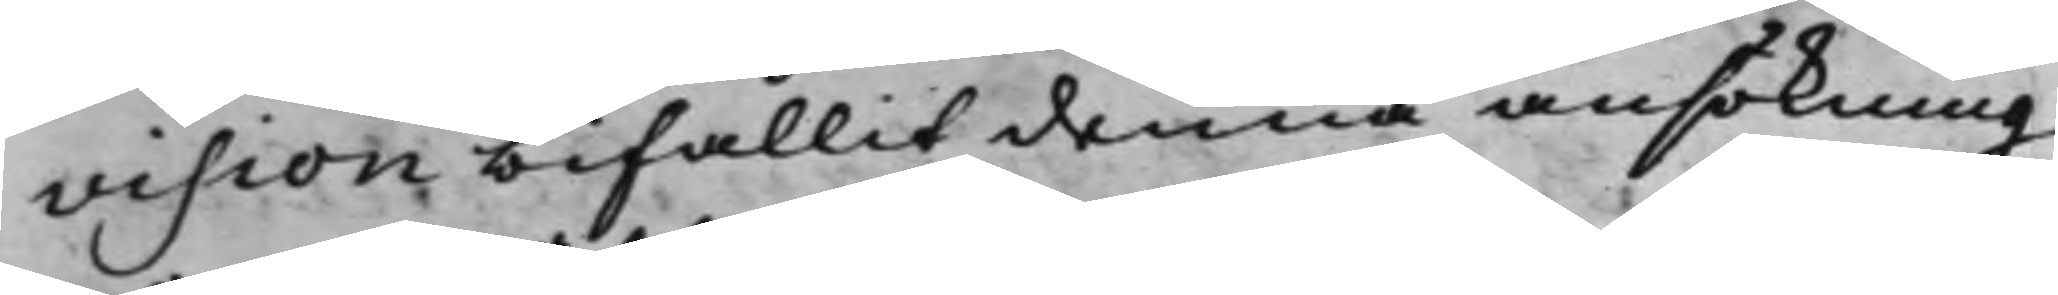vision bifallit denna ansökning
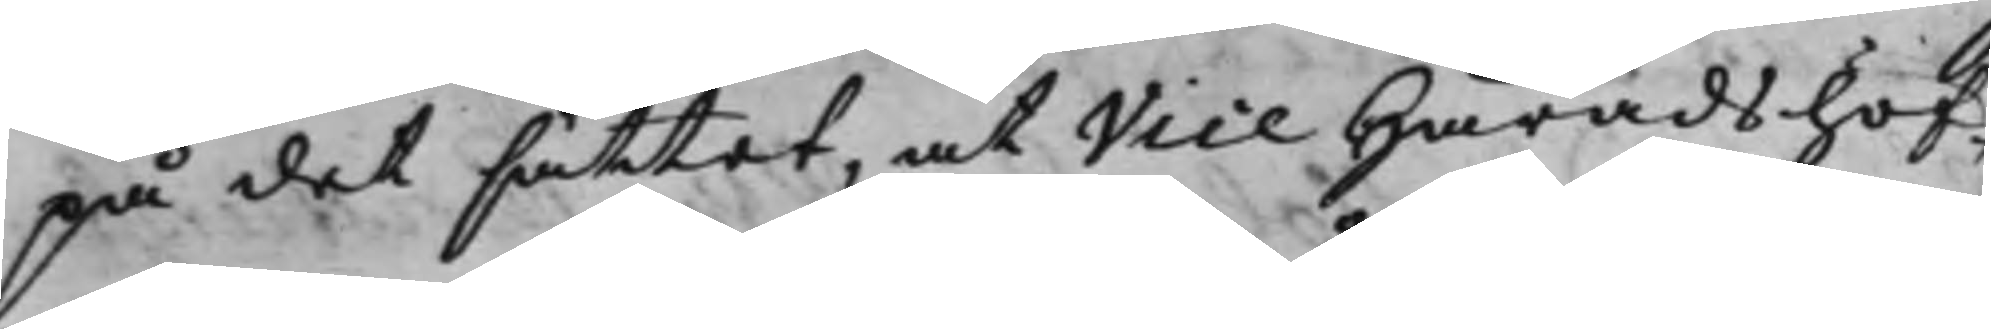på det sättet, at Vice Häradshöf¬
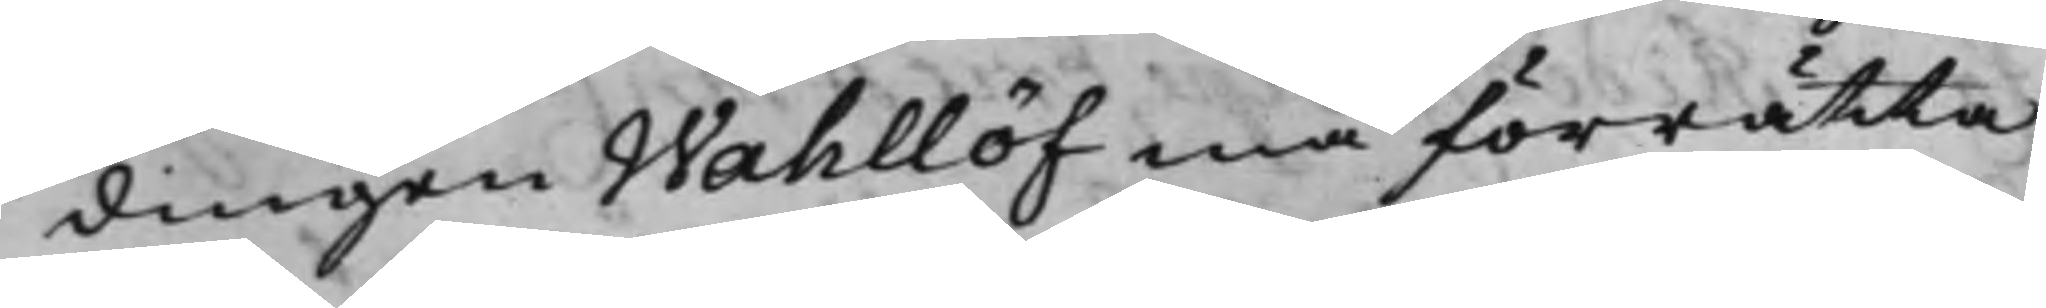dingen Wahllöf må förrätta
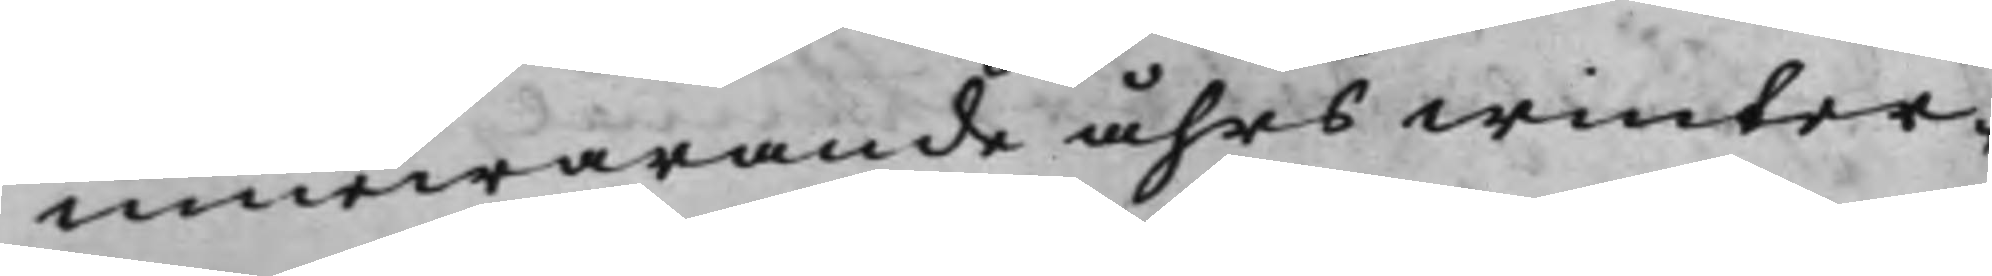innewarande åhrs winter¬
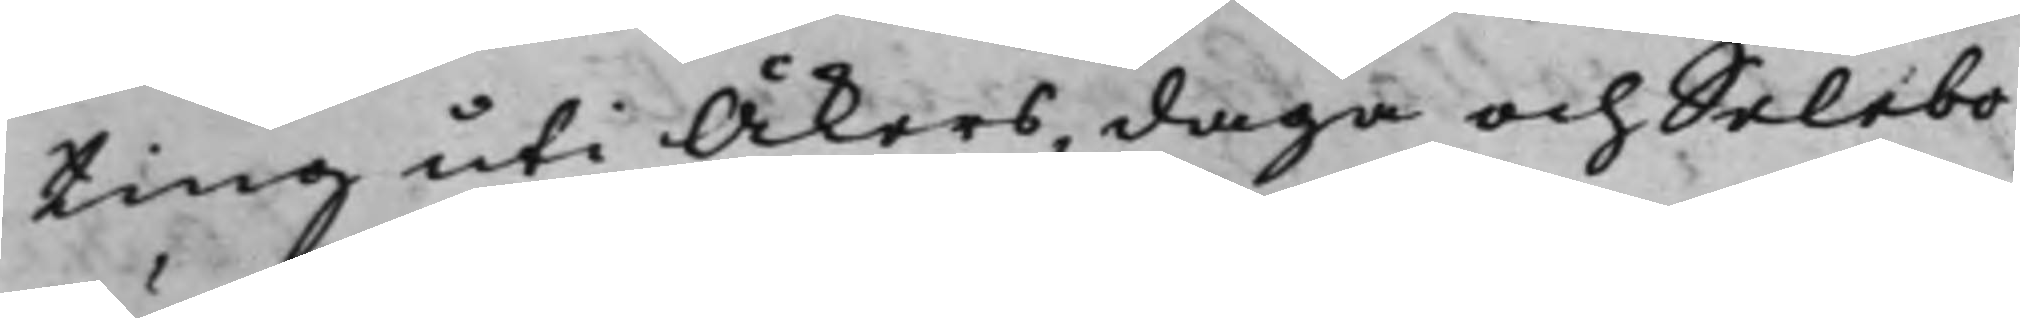ting uti Åkers, daga och Selebo
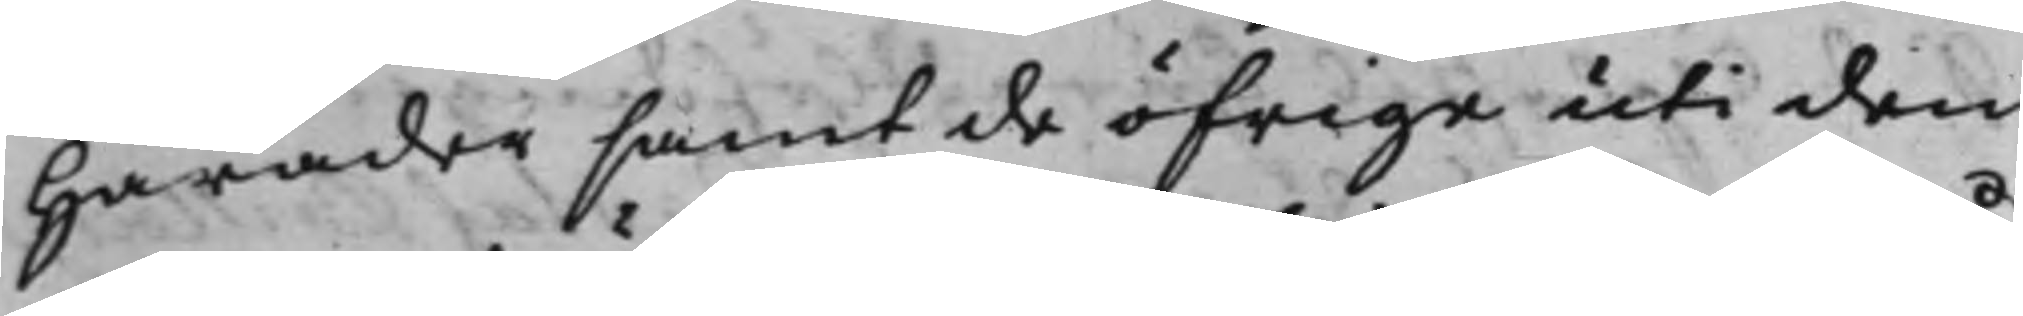Härader samt de öfrige uti den
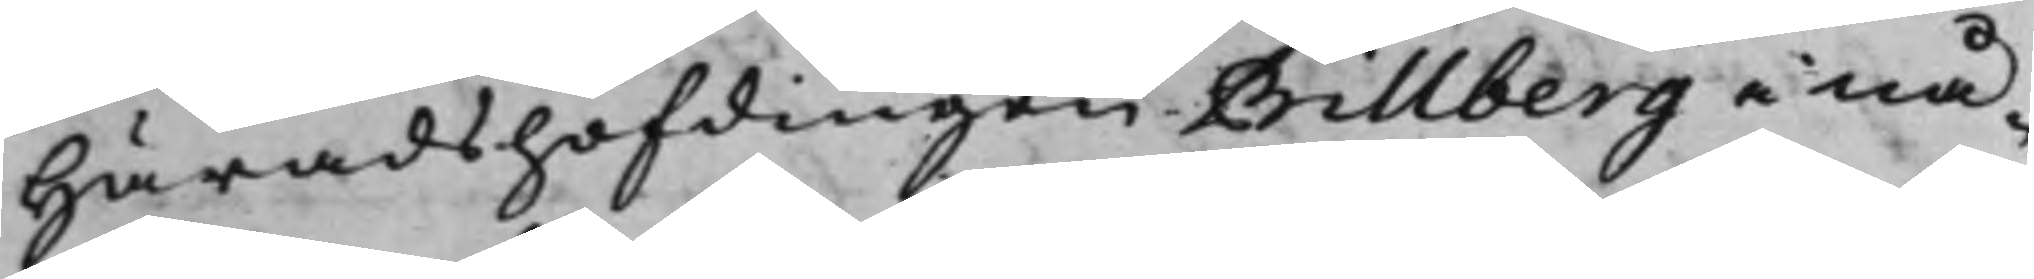Häradshöfdingen Billberg i nå¬
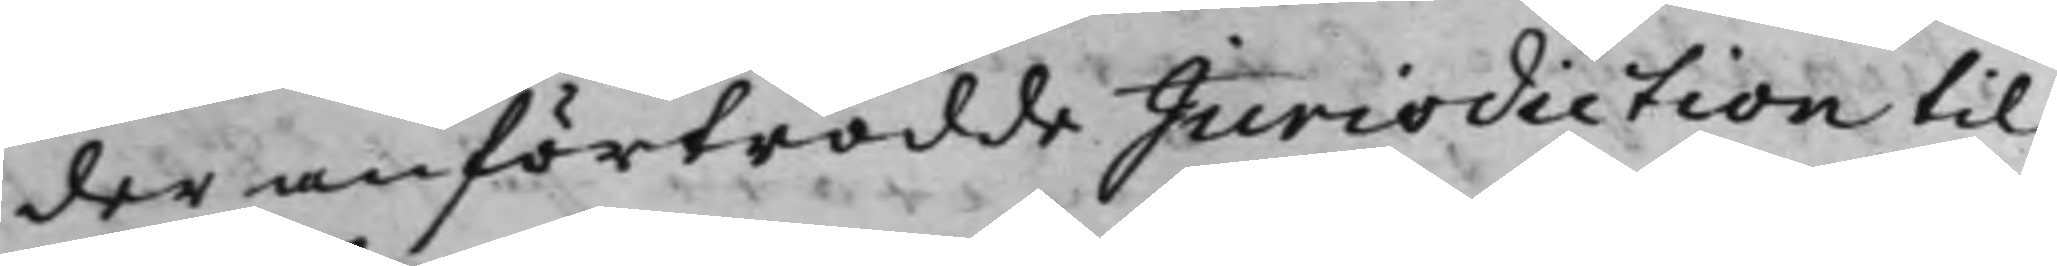der anförtrodde Jurisdiction til
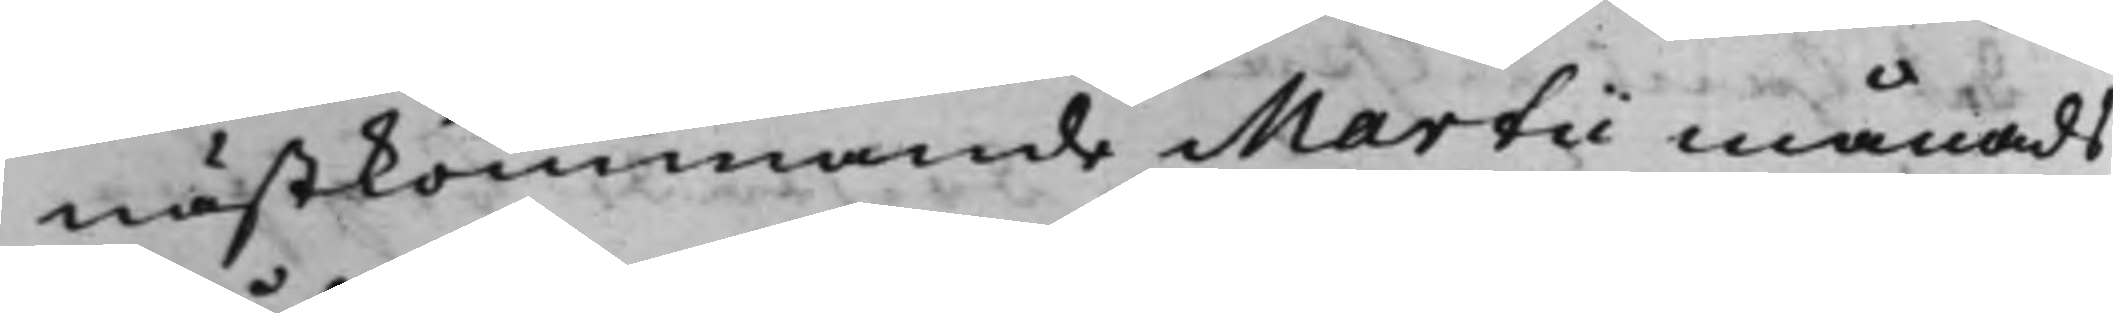nästkommande Martii månads
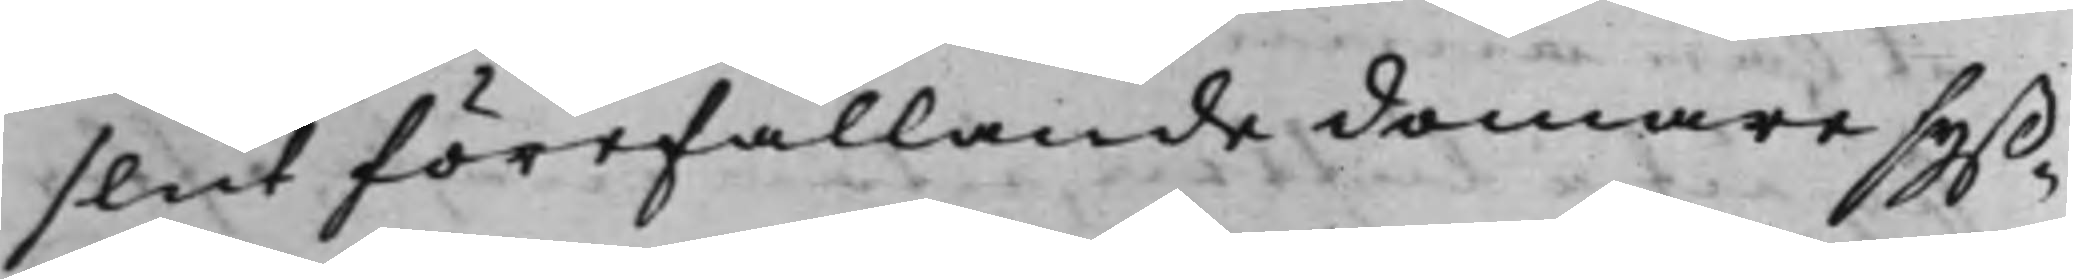slut förefallande domaresyß¬
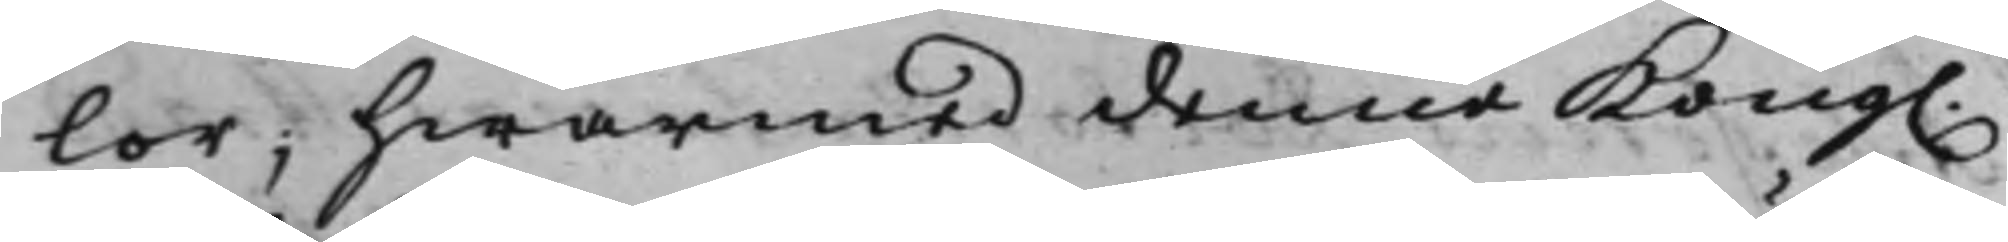lor; hwarmed denne Kong.
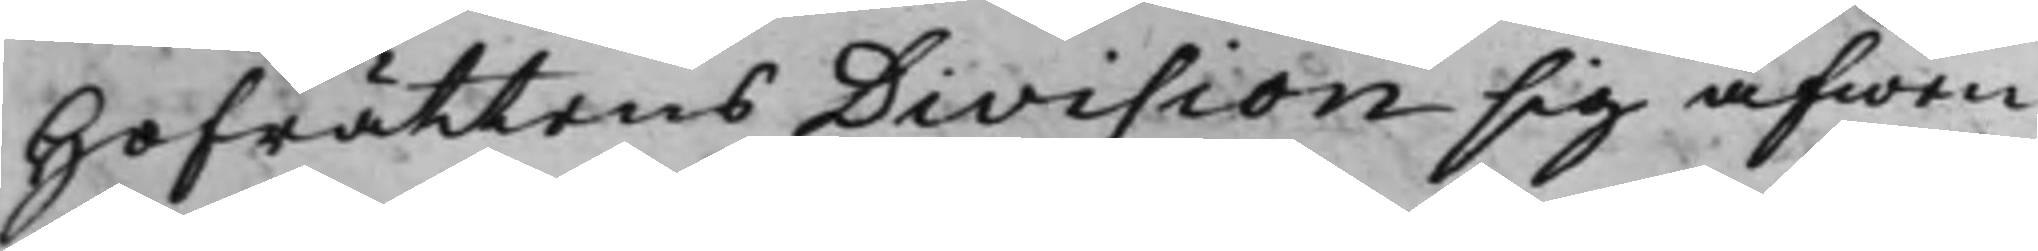Hofrättens Division sig äfwen
